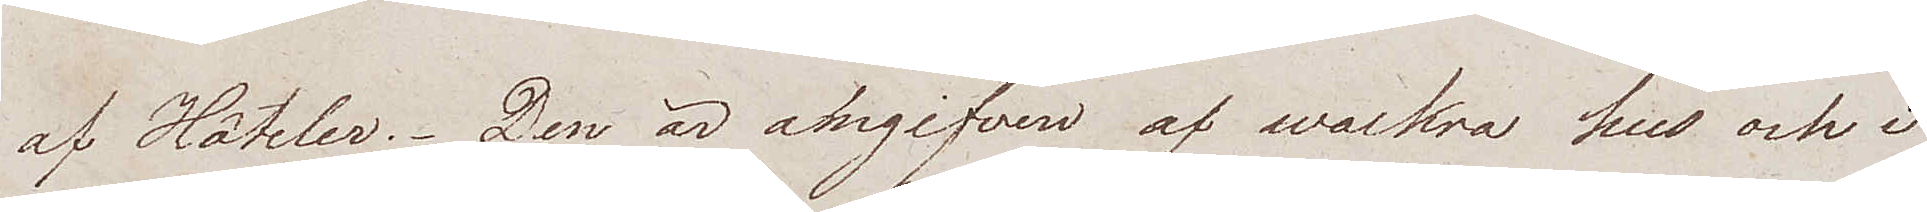af Hôteler. Den är omgifven af wackra hus och i
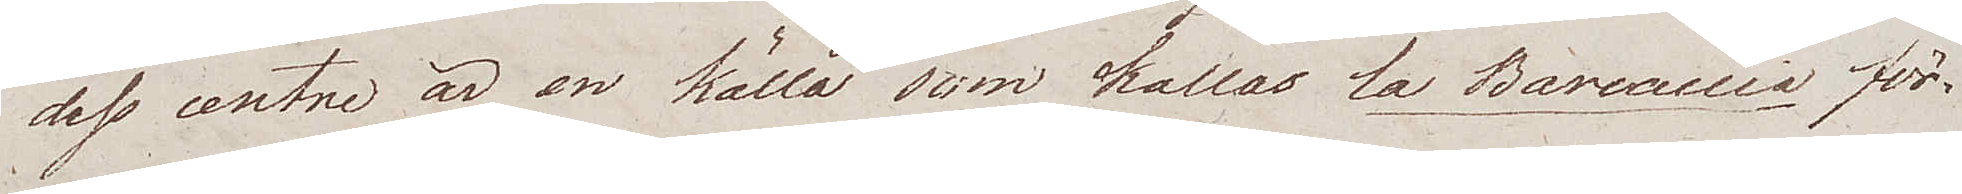dess centre är en källa som kallas la Barcaccia för¬
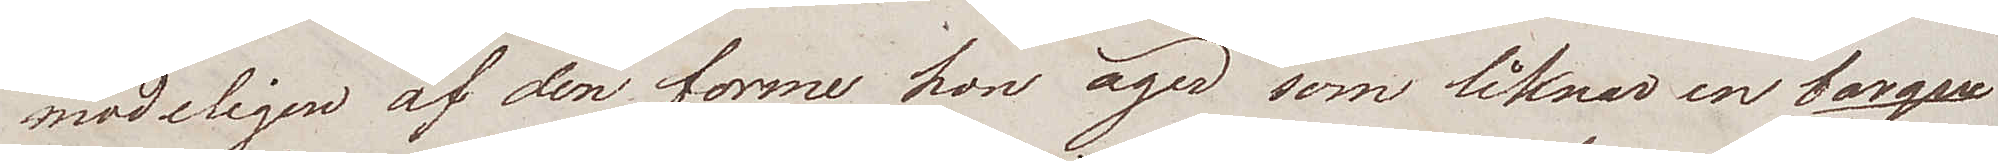modeligen af den forme hon äger som liknar en barque
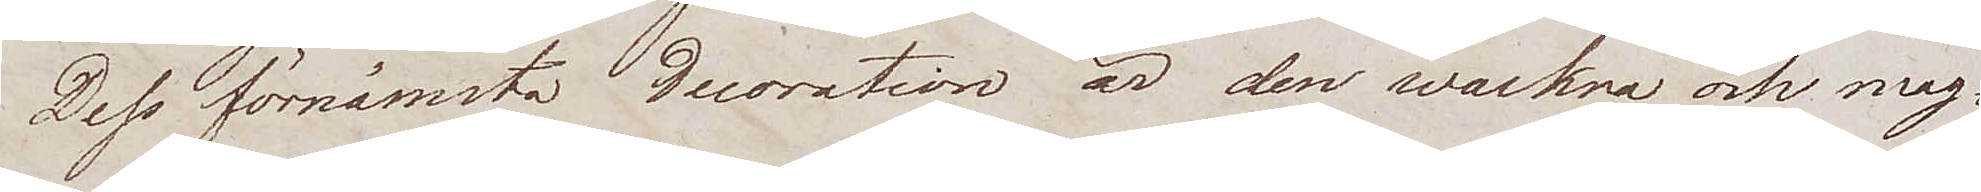Dess förnämsta decoration är den wackra och mag¬
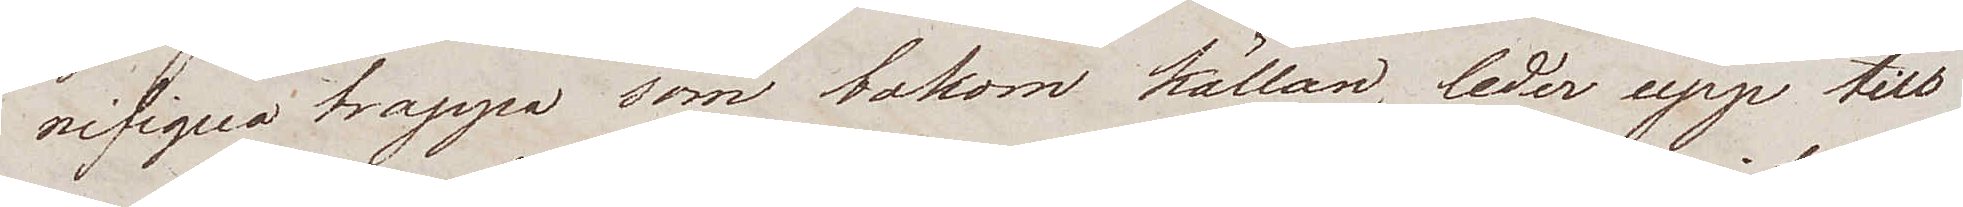nifiqua trappa som bakom källan, leder upp till
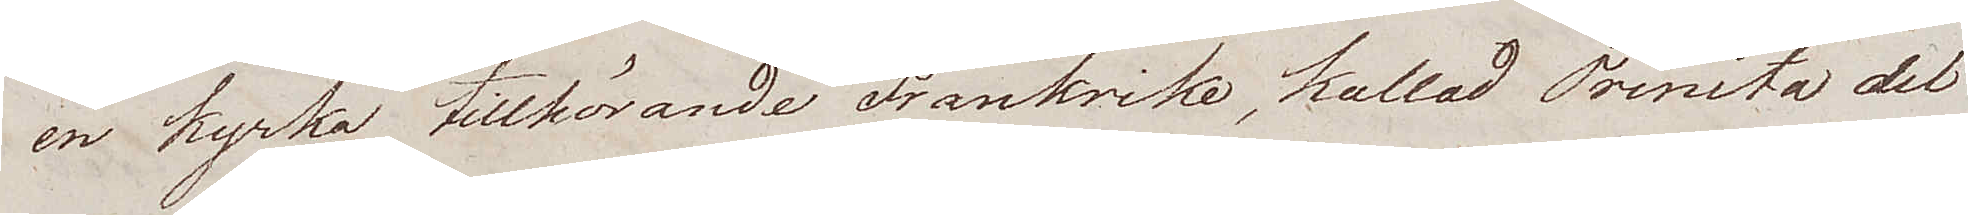en kyrka tillhörande Frankrike, kallad Trinita del
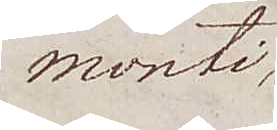Monti,
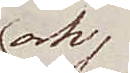och
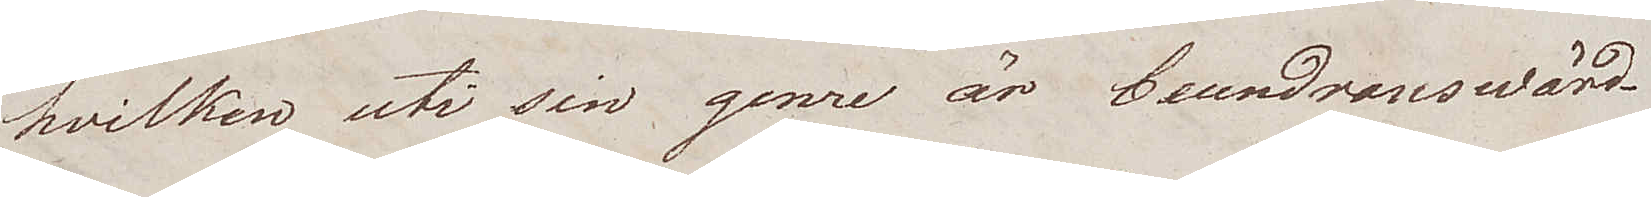hvilken uti sin genre är beundranswärd.
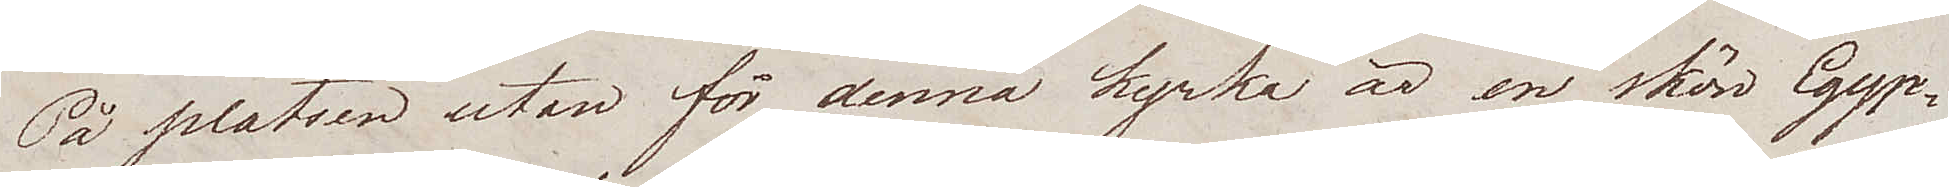På platsen utan för denna kyrka är en skön Egyp¬
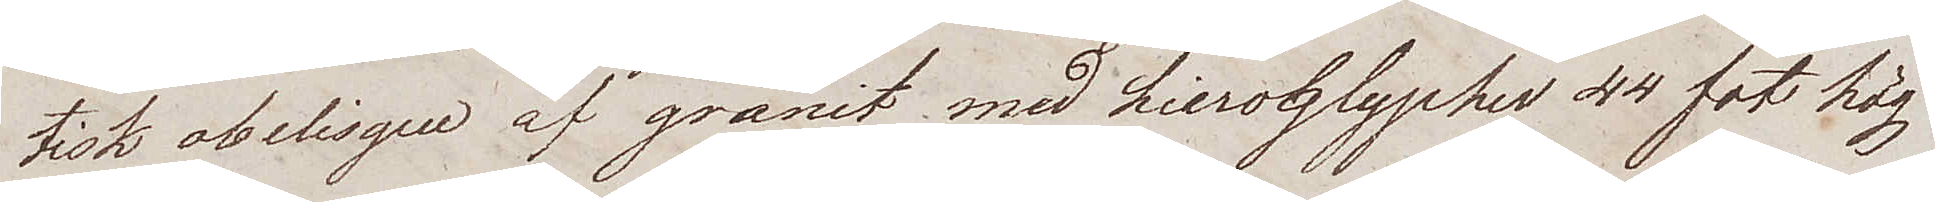tisk obelisque af granit med hieroglypher 44 fot hög
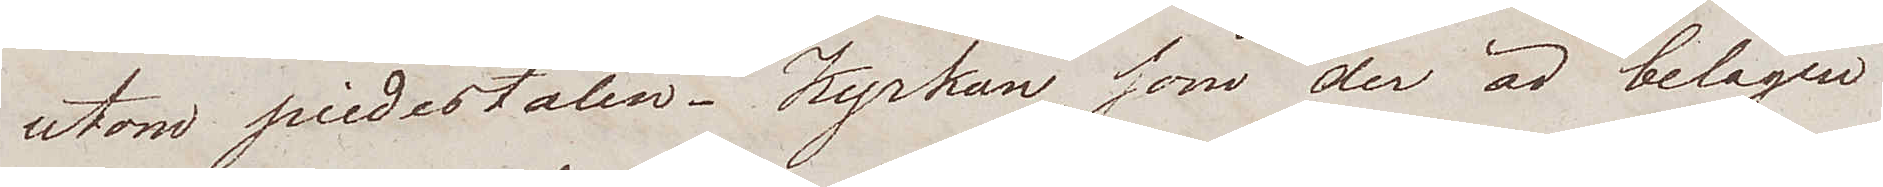utom piedestalen. Kyrkan som der är belägen
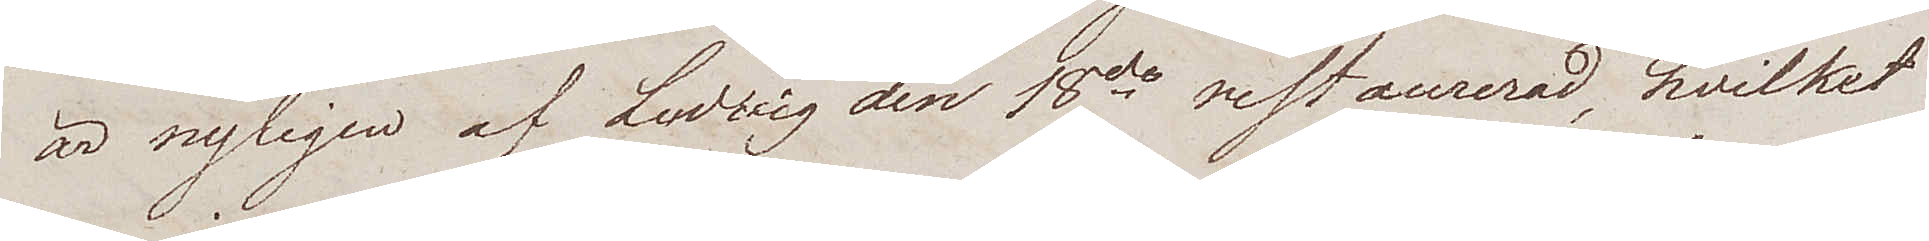är nyligen af Ludvig den 18de restaurerad, hvilket
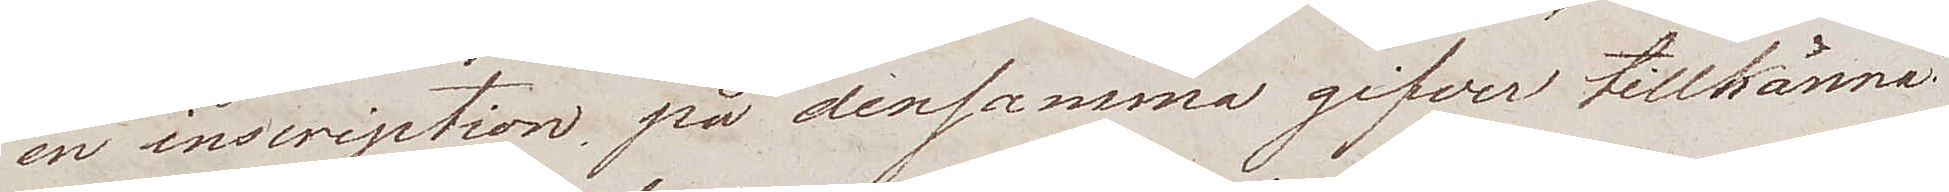en inskription på densamma gifver tillkänna.
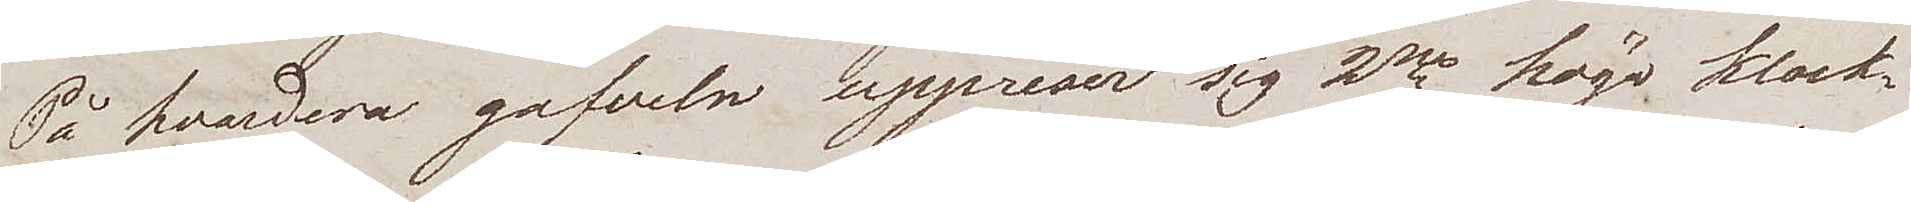På hvardera gafveln uppreser sig 2ne höga klock¬
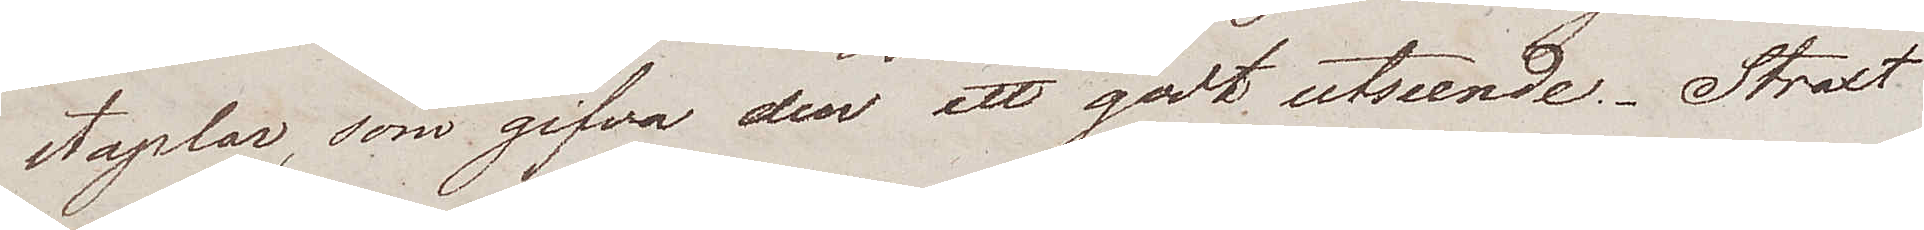staplar, som gifva den ett godt utseende. Straxt
